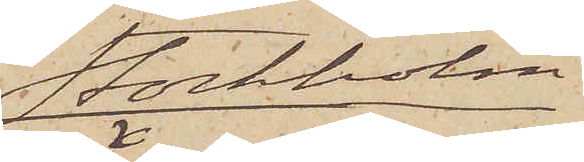Stockholm
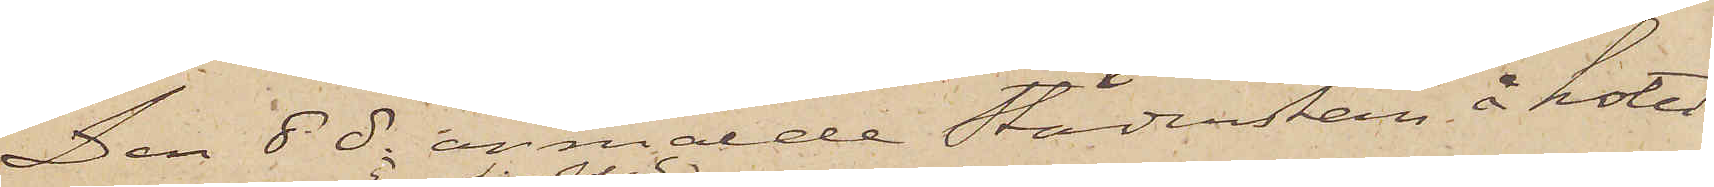Den 8 ds anmälde Städerskan å hotel
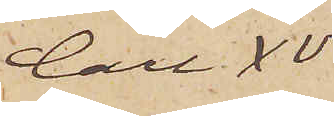Carl XV
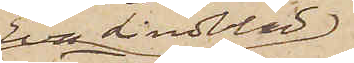Eva Lindblad
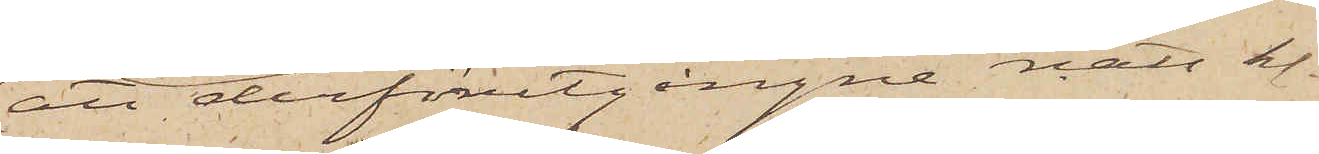att derförutgångne natt kl.
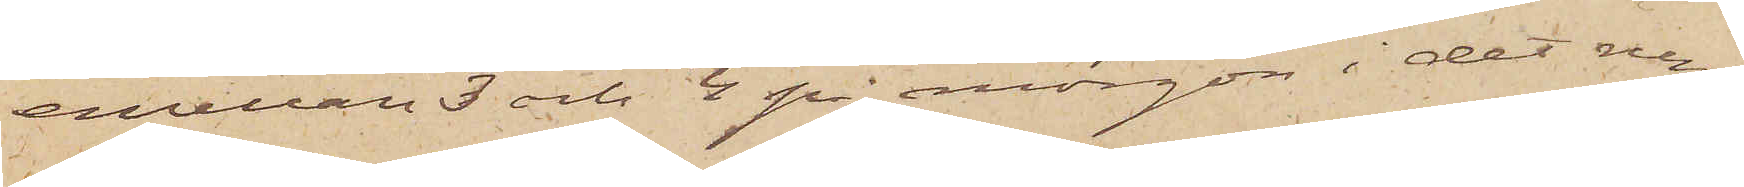emellan 3 och 4 på morgon i det rum,
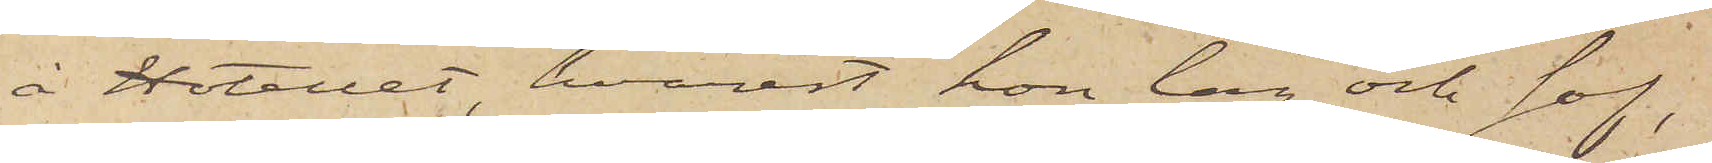å Hotellet, hvarest hon låg och sof
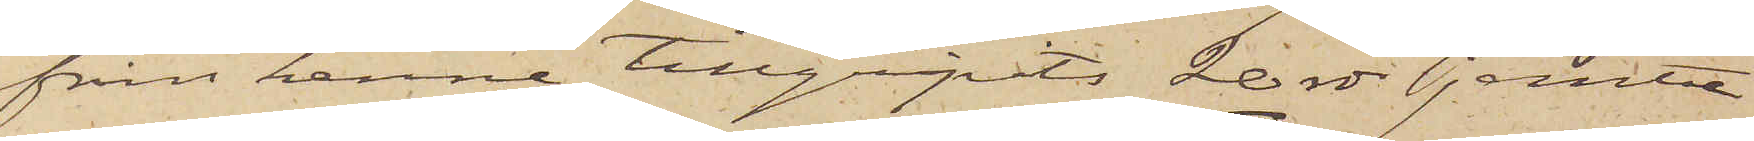från henne tillgripits 20 rdr jemte
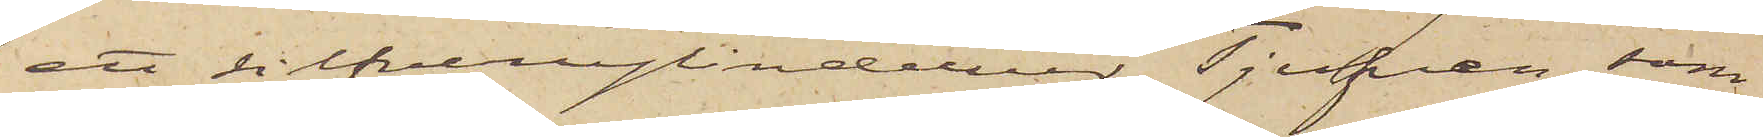ett silfvercylinderur. Tjufven, som
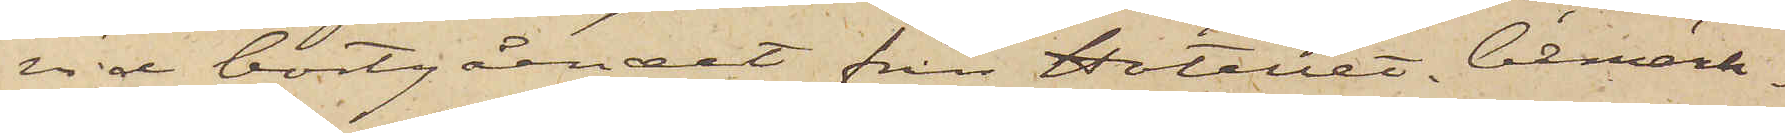vid bortgåendet från Hotellet bemärk¬
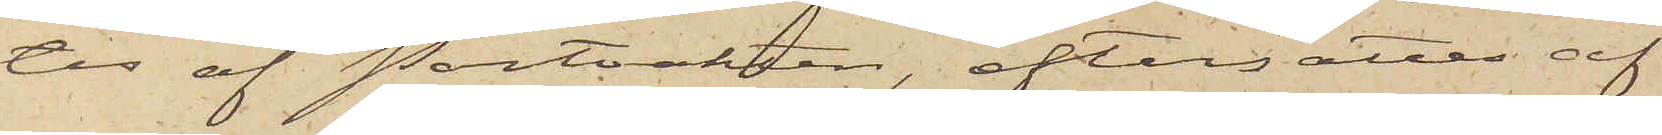tes af Portvakten, eftersattes af
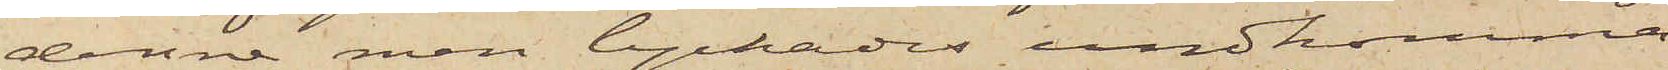denne, men lyckades undkomma,
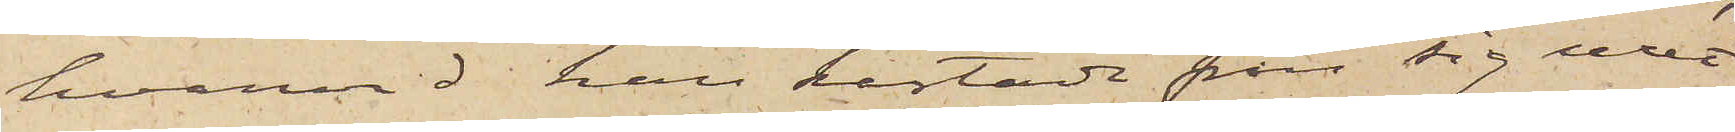hvarvid han kastade från sig uret
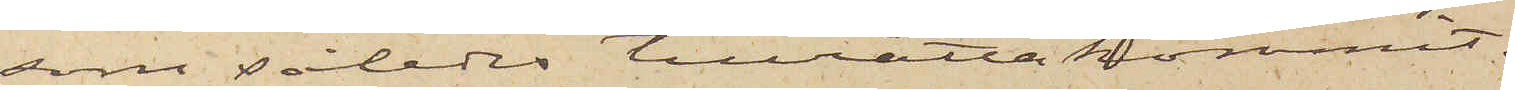som således tillrätta kommit.
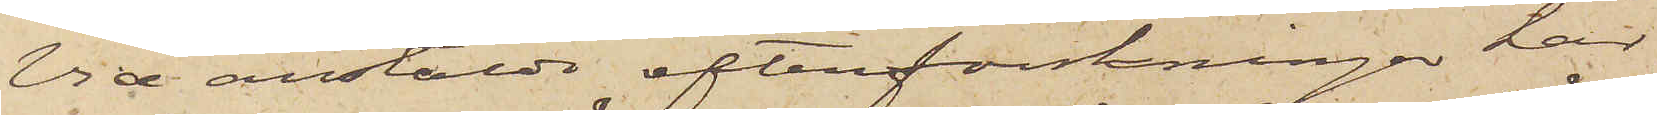Vid anstälda efterforskningar har
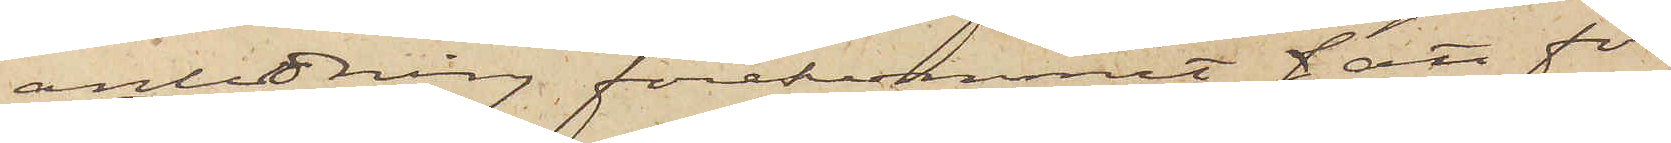anledning förekommit att för
